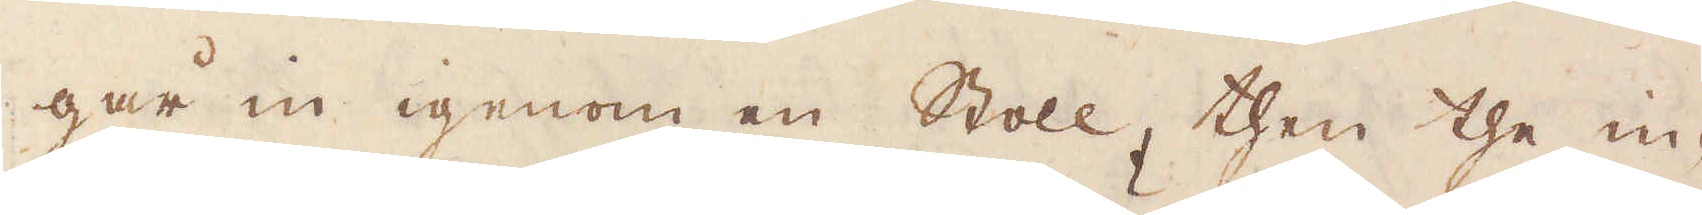går in igenom en Stoll, then the in-
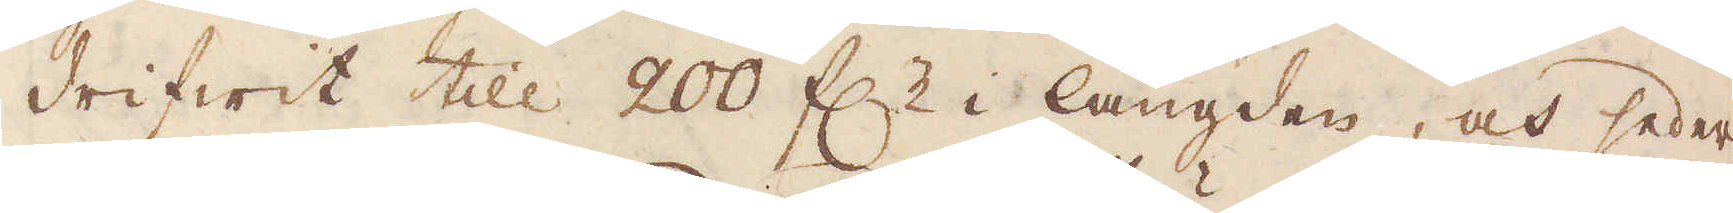drifwit till 200 f:r i längden, och seder-
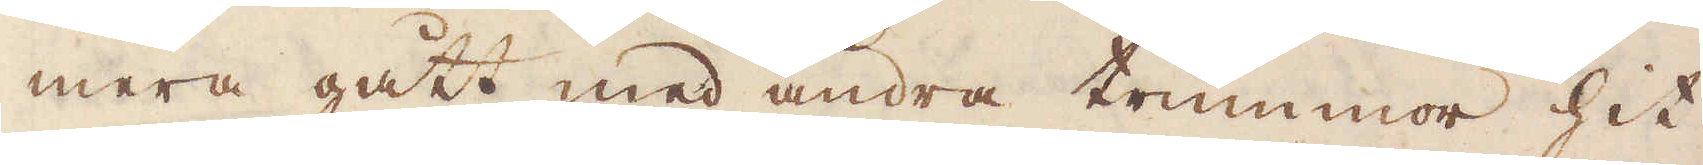mera gått med andra trummor hit
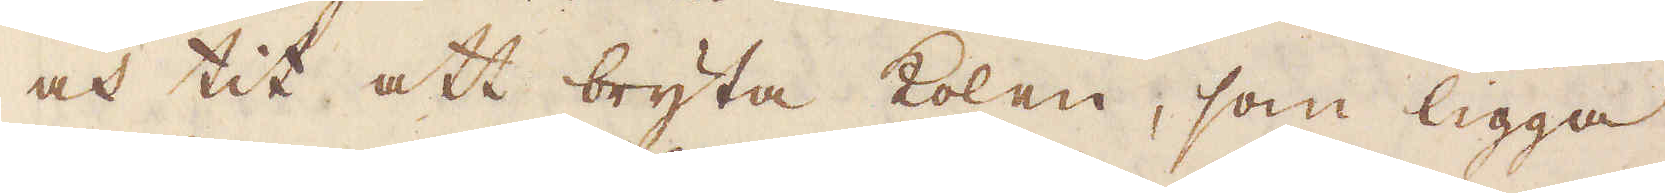och tit att bryta kolen, som ligga
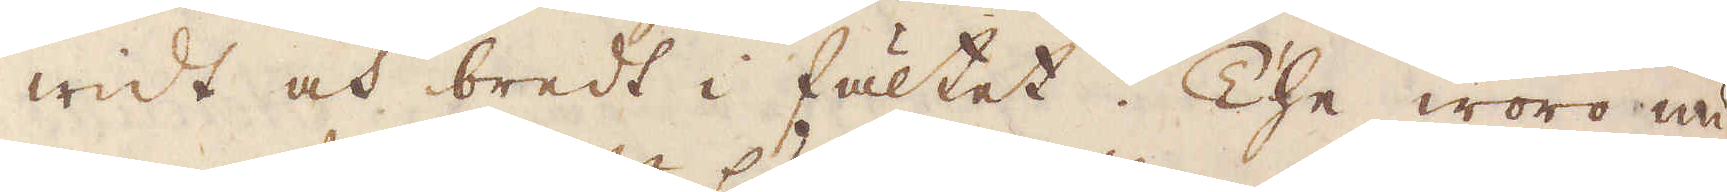widt och bredt i fältet. The woro nu
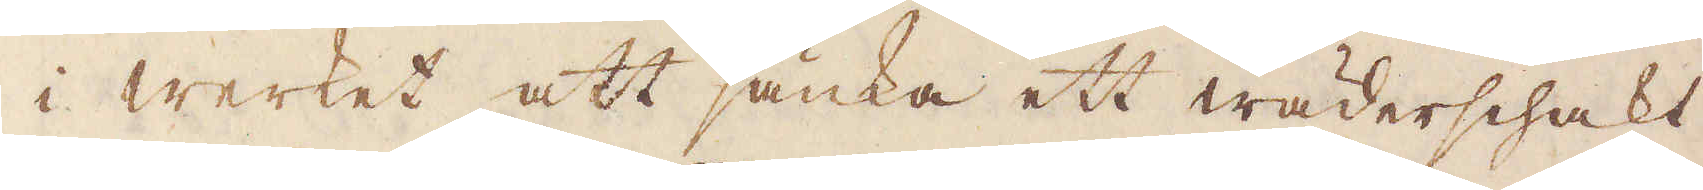i werket att sänka ett wäderschakt
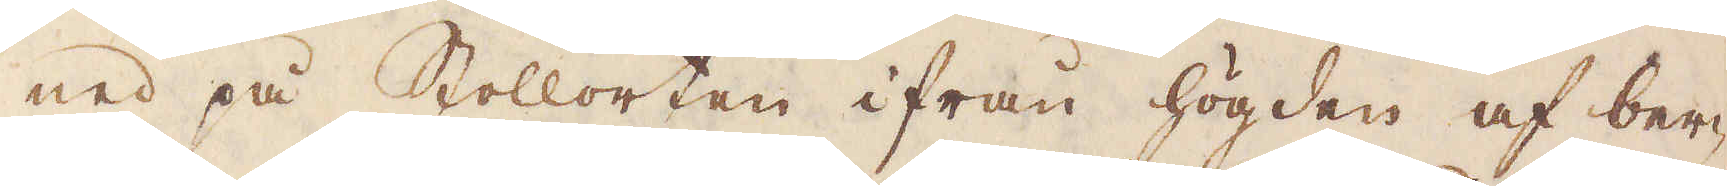ned på Stollorten ifrån högden af ber-
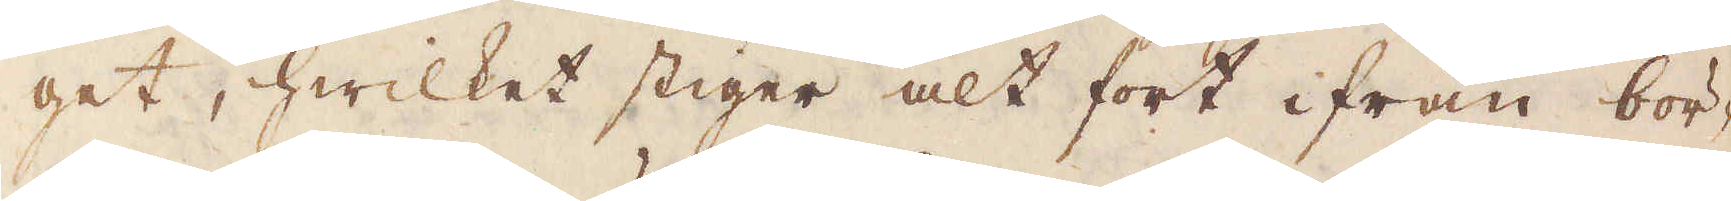get, hwilket stiger alt fort ifrån bör-
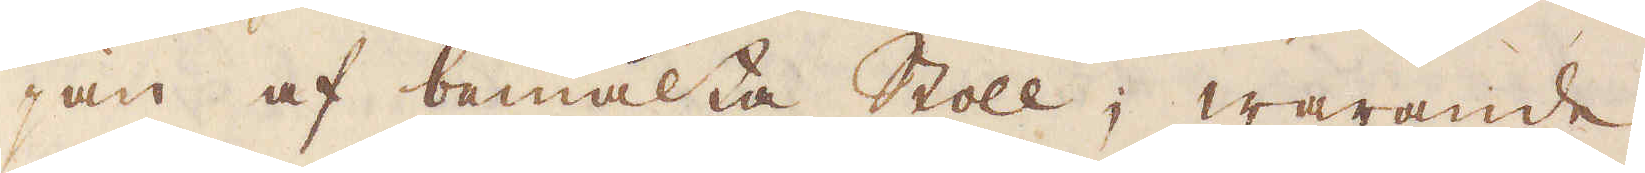jan af bemälta stoll; warande
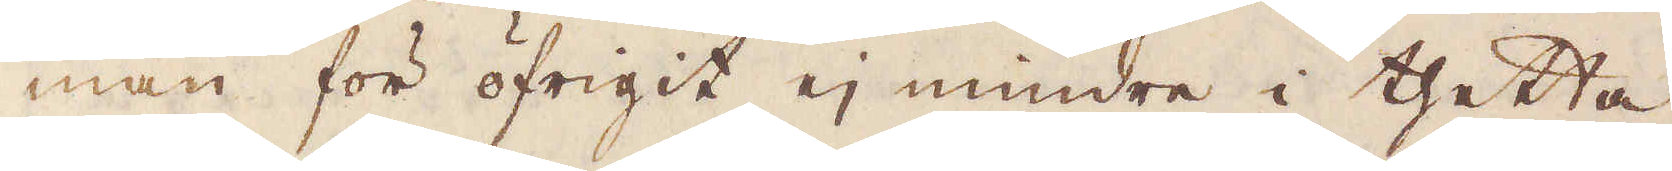man för öfrigit ej mindre i thetta
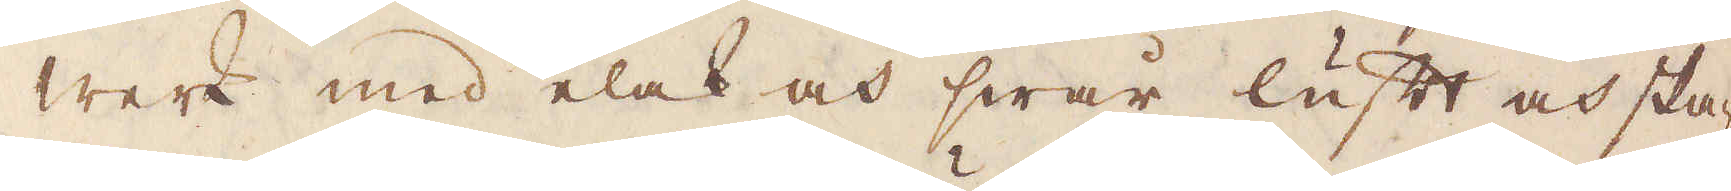werk med elak och swår luft och ska-
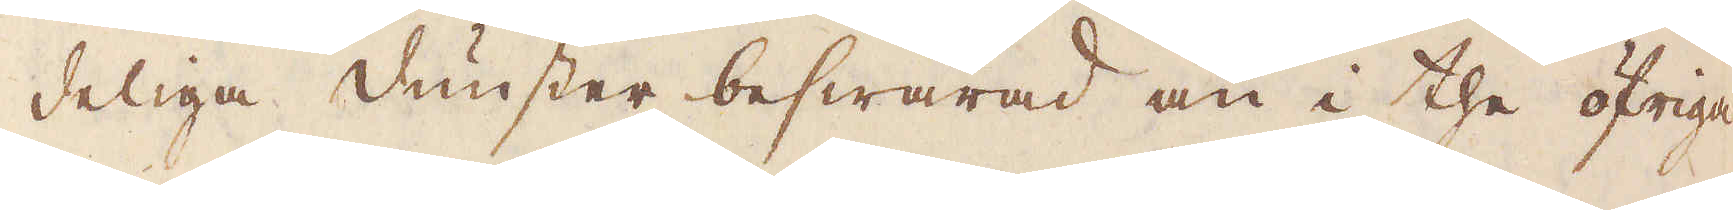deliga dunster beswärad än i the öfriga
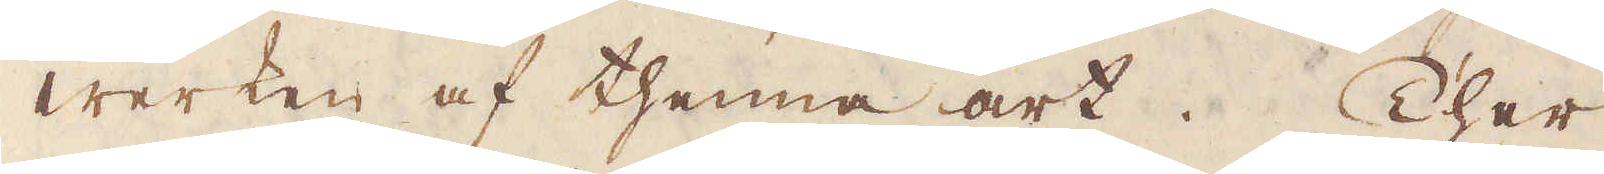werken af thenna art. Ther
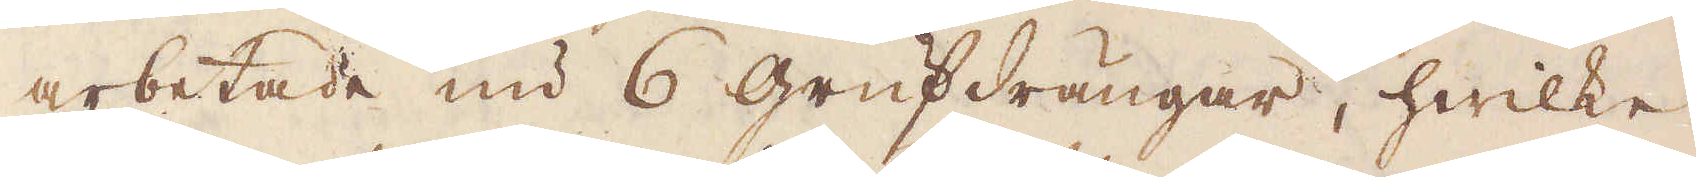arbetade nu 6 Grufdrängar, hwilke
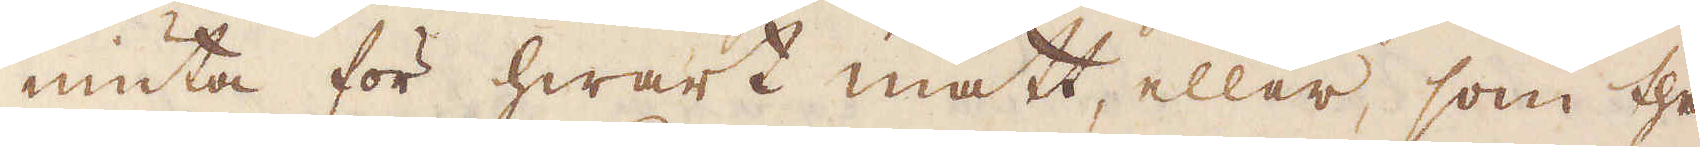niuta för hwart mått, eller, som the
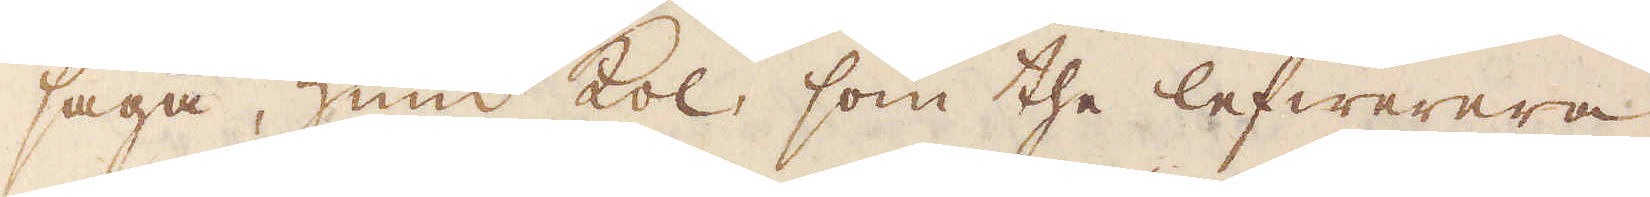säga, Hund Kol, som the lefwerera
